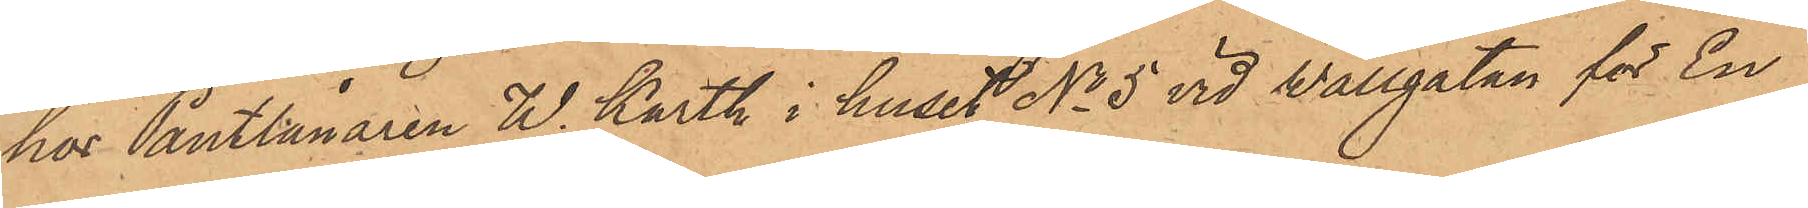hos Pantlånaren W. Karth i huset No 5 vid Wallgatan för En
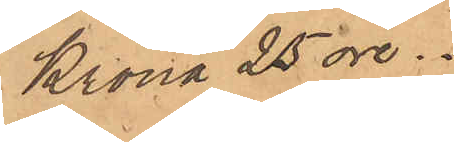Krona 25 öre.
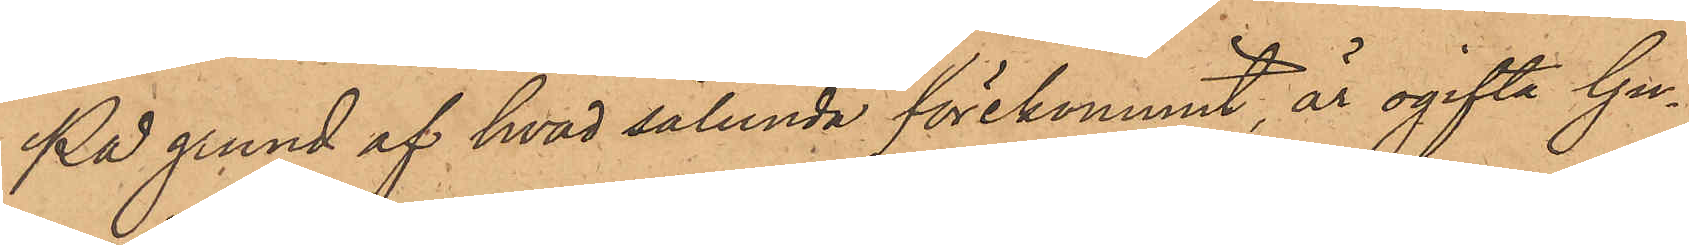På grund af hvad sålunda förekommit, är ogifta Gu¬
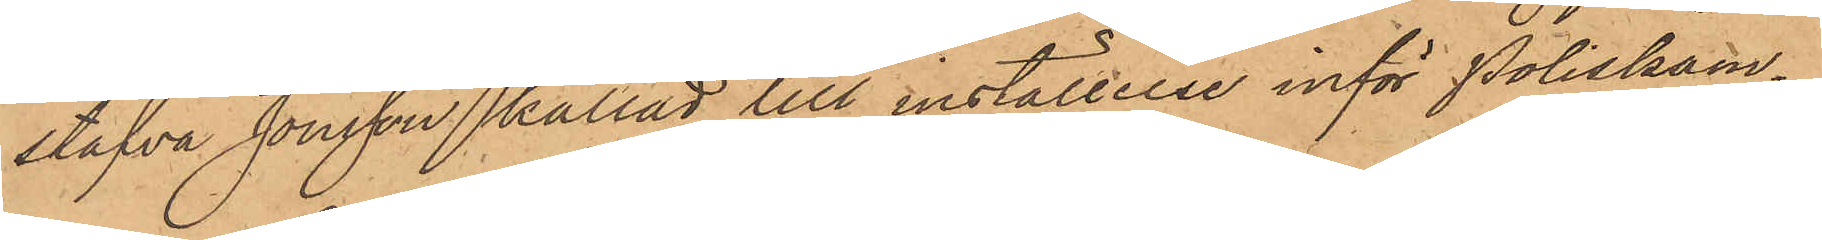stafva Jonsson kallad till inställelse inför Poliskam¬
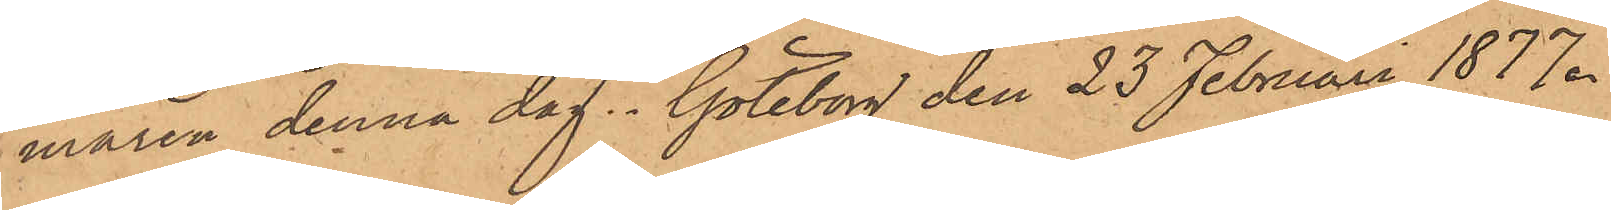maren denna dag. Göteborg den 23 Februari 1877.
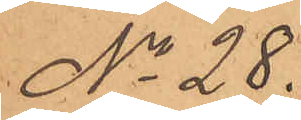No 28.
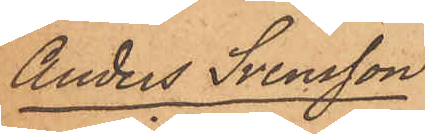Anders Svensson
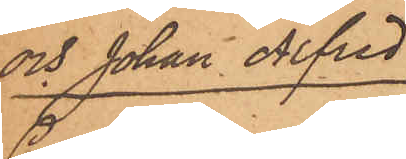och Johan Alfred
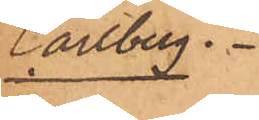Carlberg.
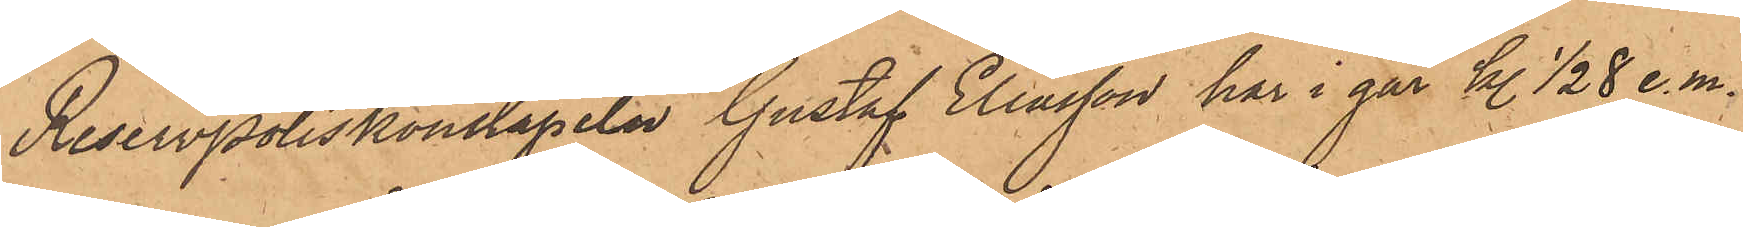Reservpoliskonstapeln Gustaf Eliasson har i går kl. 1/2 8 e. m.
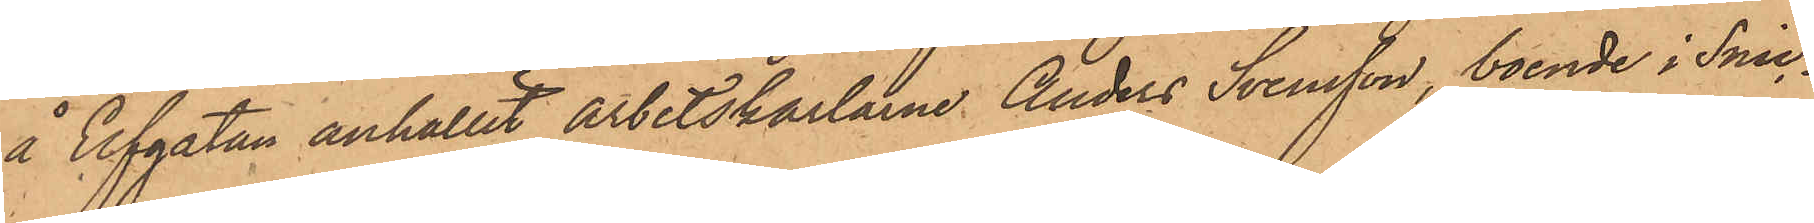å Elfgatan anhållit arbetskarlarne Anders Svensson, boende i Snic¬
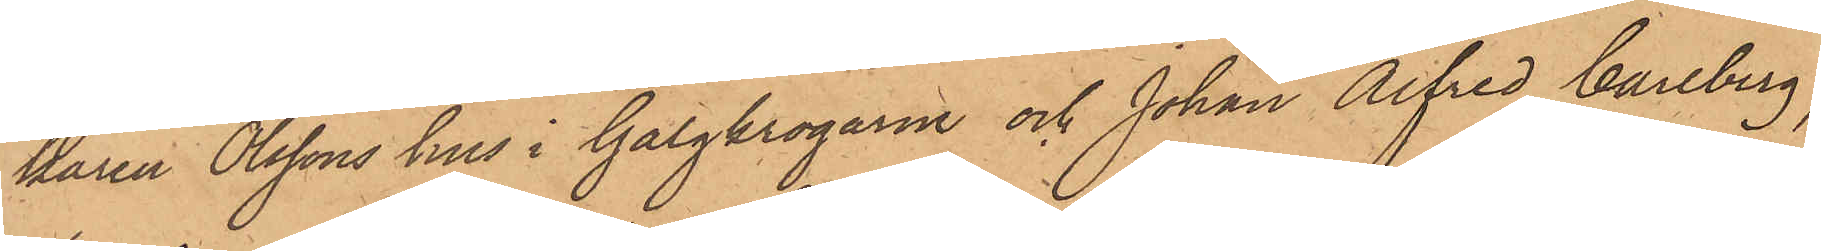karen Olssons hus i Galgkrogarne och Johan Alfred Carlberg,
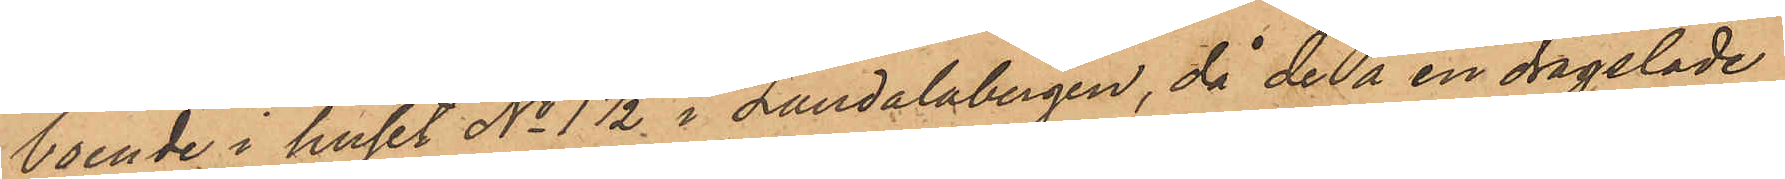boende i huset No 1 1/2 i Landalabergen, då de å en dragsläde
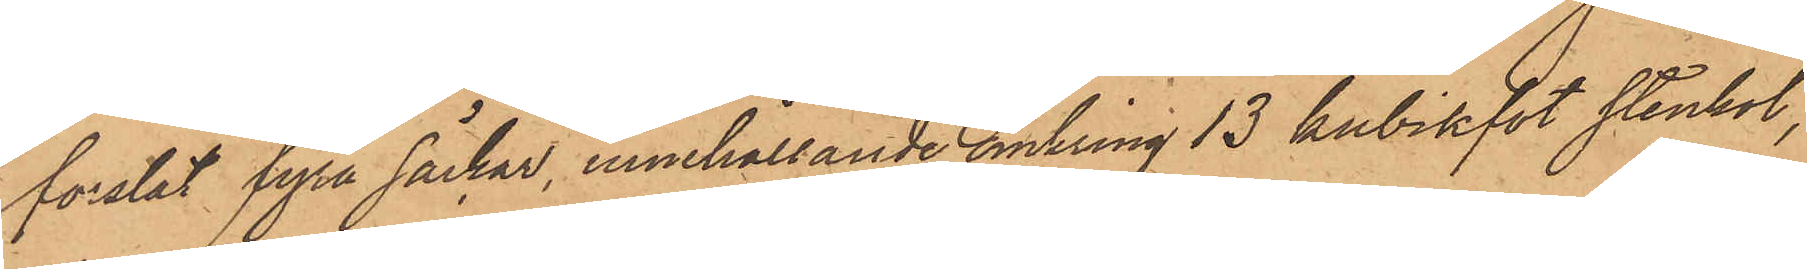forslat fyra säckar, innehållande omkring 13 kubikfot stenkol,
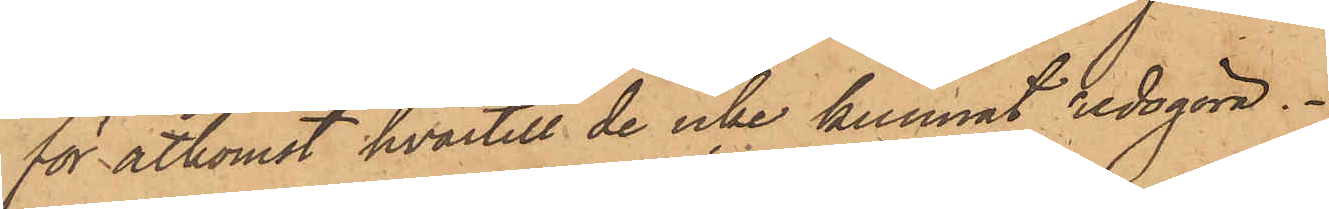för åtkomst hvartill de icke kunnat redogöra.
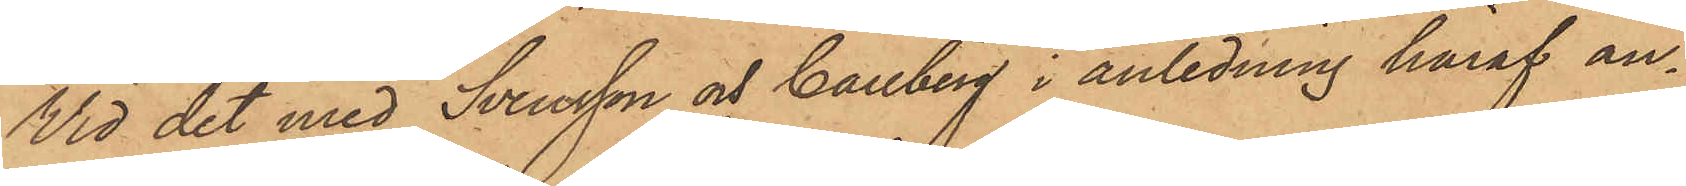Vid det med Svensson och Carlberg i anledning häraf an¬
